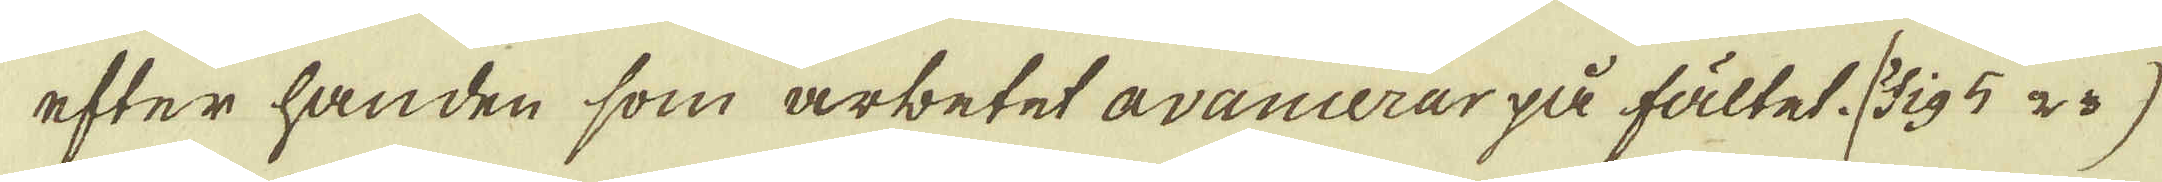efter handen som arbetet avancerar på fältet (Fig 5 2 3)
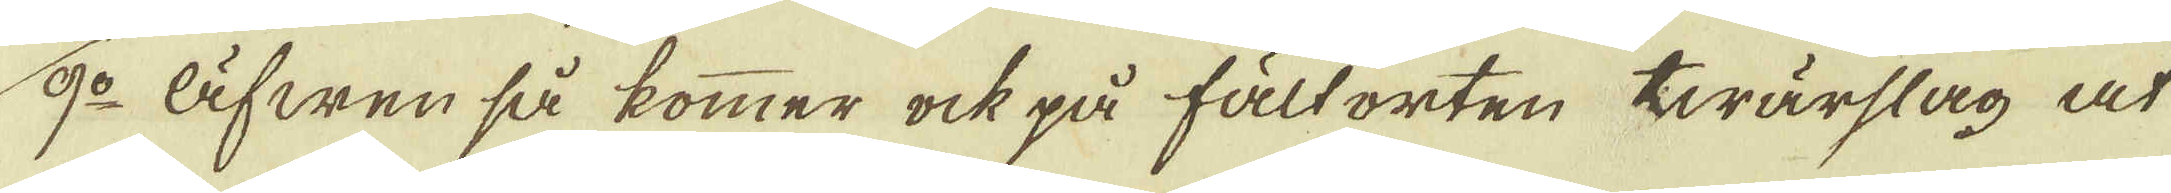9:o Äfwen så kommer ock på fält orten twärslag at
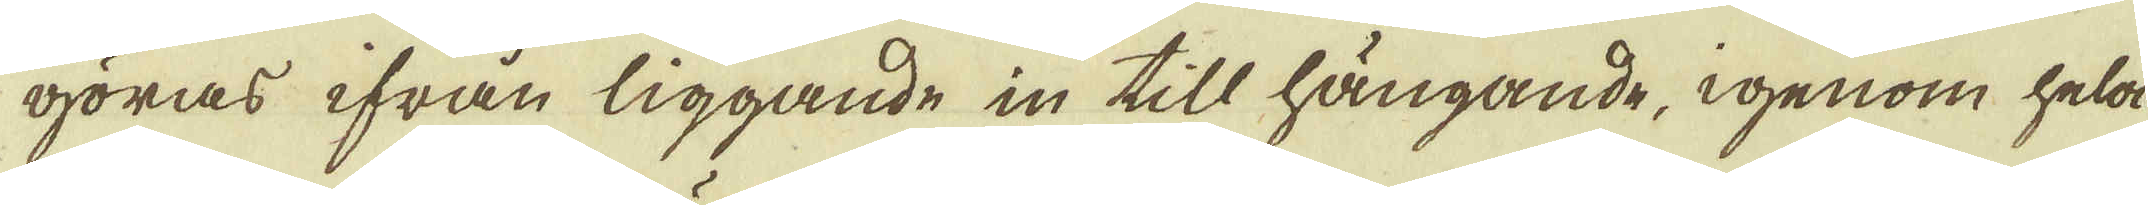göras ifrån liggande in till hängande, igenom hela
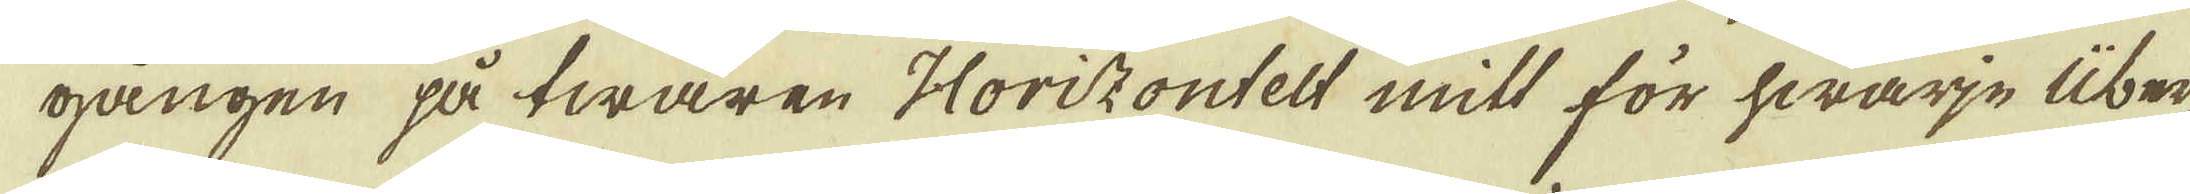gången på twären Horizontelt mitt för hwarje Über-
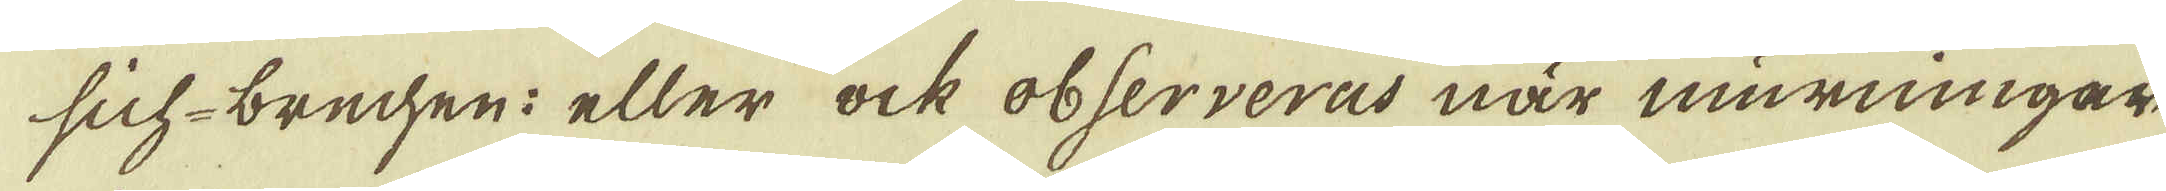sich-brechen: eller ock observeras när murningar
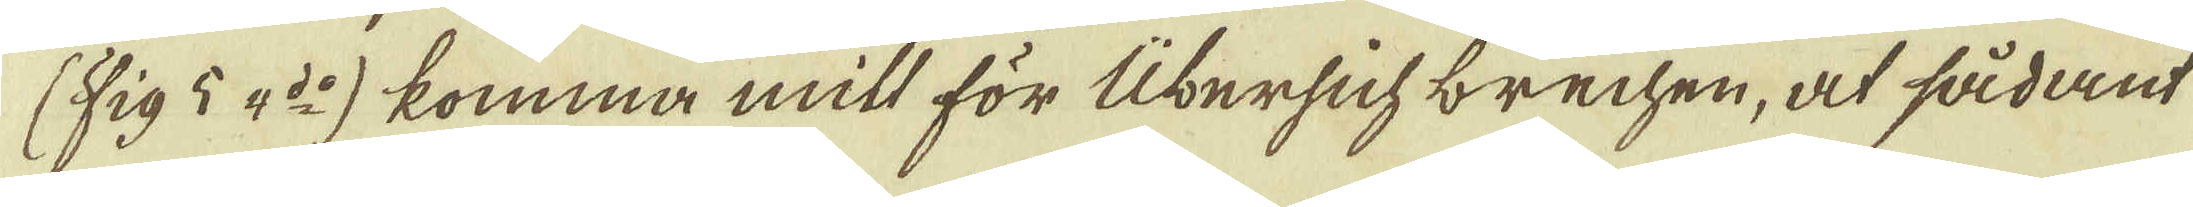(Fig 5 4:do) komma mitt för Übersichbrechen, at sådant
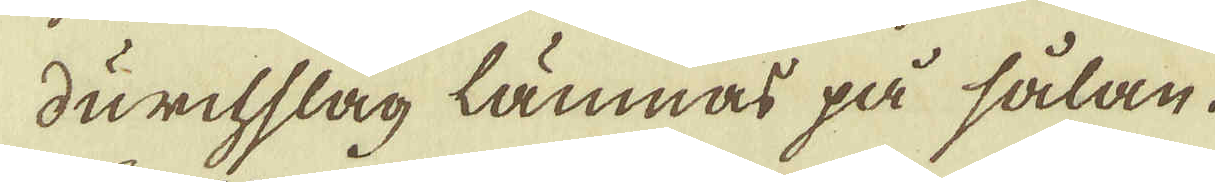durchslag lämnas på sålan.
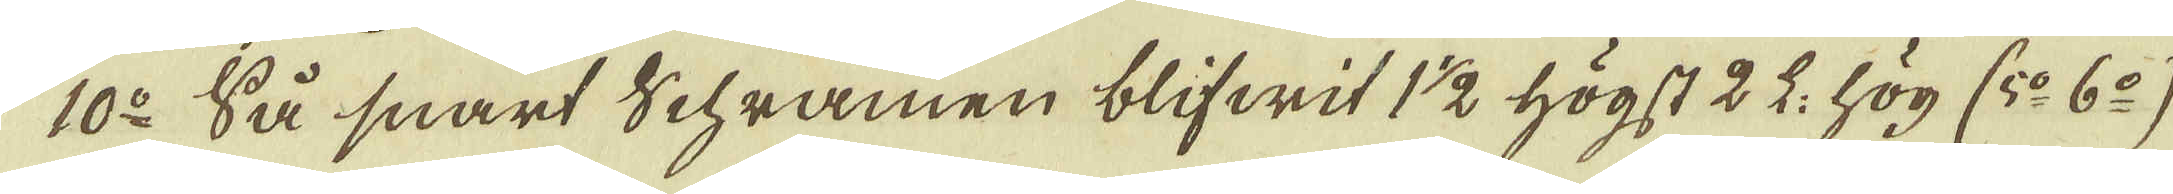10:o Så snart Schramen blifwit 1 1/2 högst 2 L: hög (5:o 6:o)
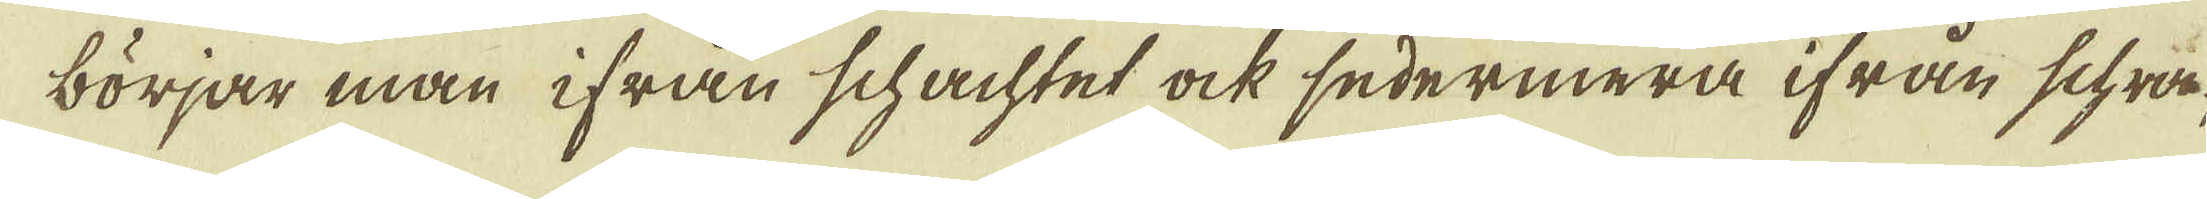börjar man ifrån schachtet ock sedermera ifrån schra-
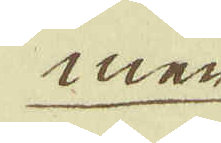men
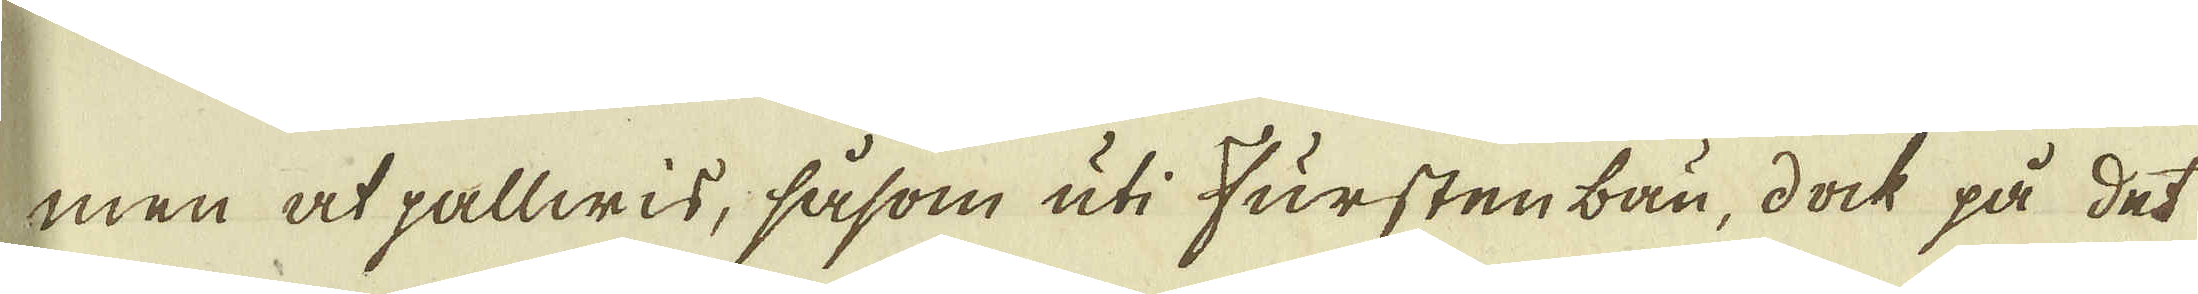men at pallwis, såsom uti Furstenbau, dock på det
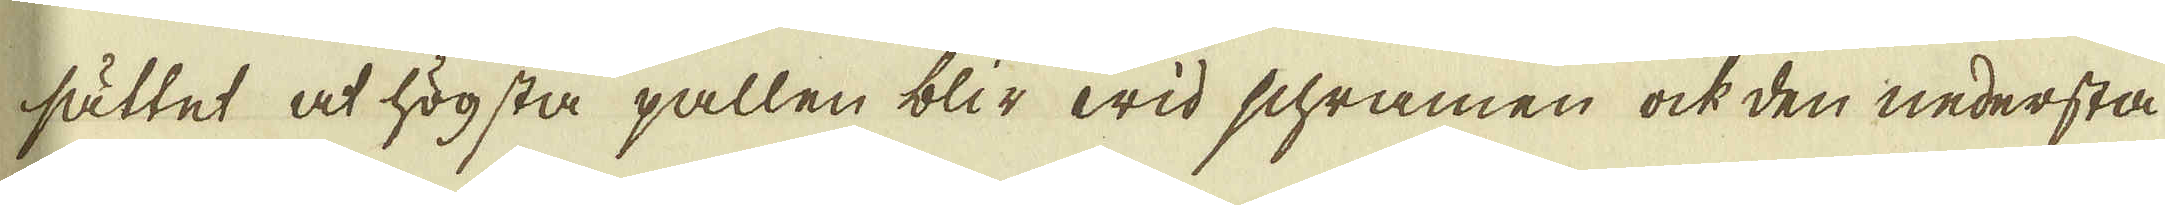sättet at högsta pallen blir wid schramen ock den nedersta
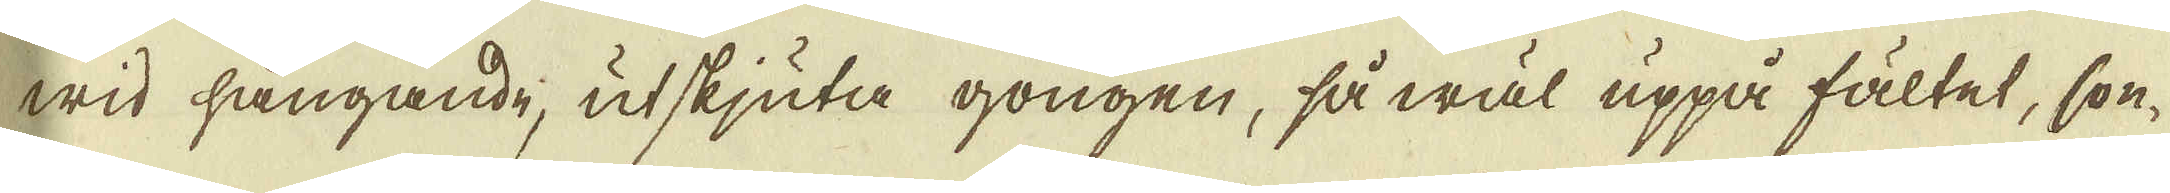wid hängande, utskjuta gongen, så wäl uppå fältet, con-
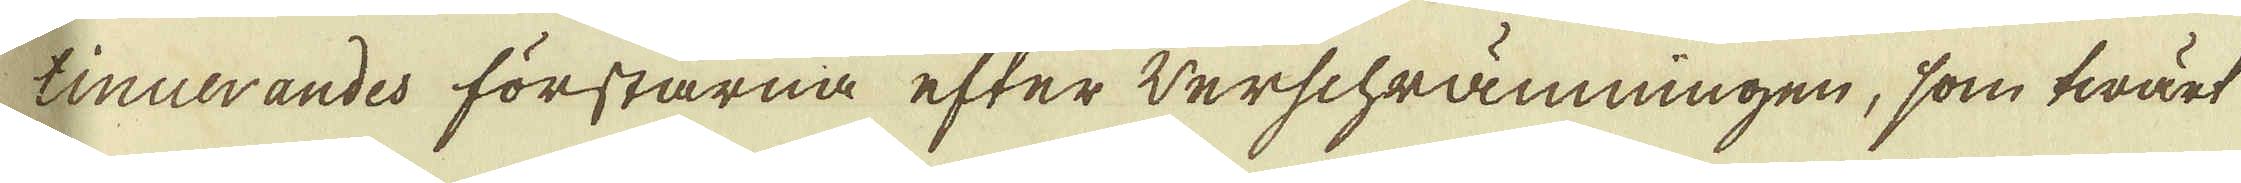tinuerandes förstarna efter werschrämningen, som twärt
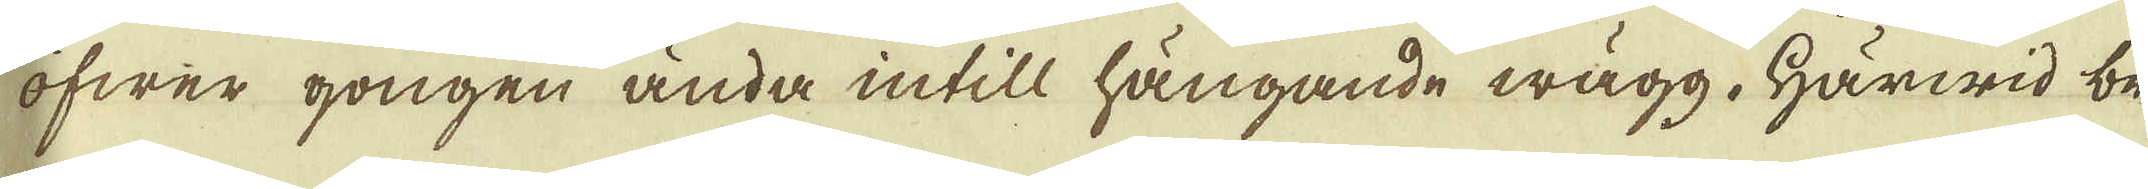öfwer gongen ända intill hängande wägg. Härwid be-
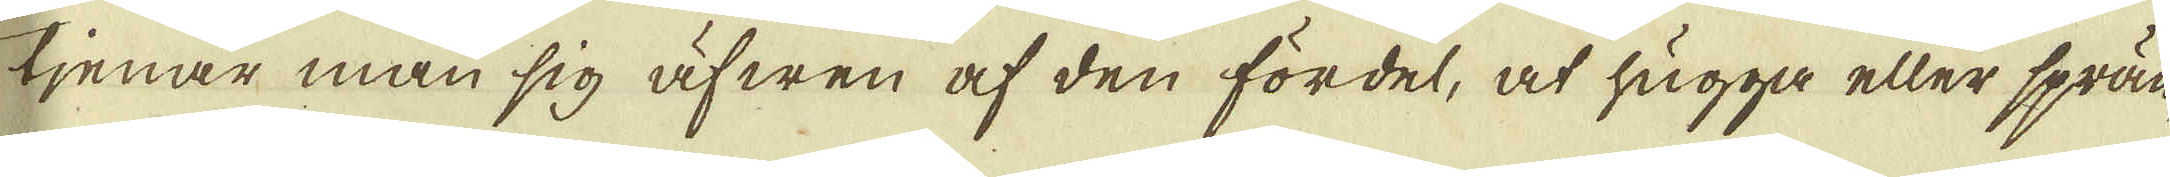tjenar man sig äfwen af den fördel, at hugga eller sprän-
